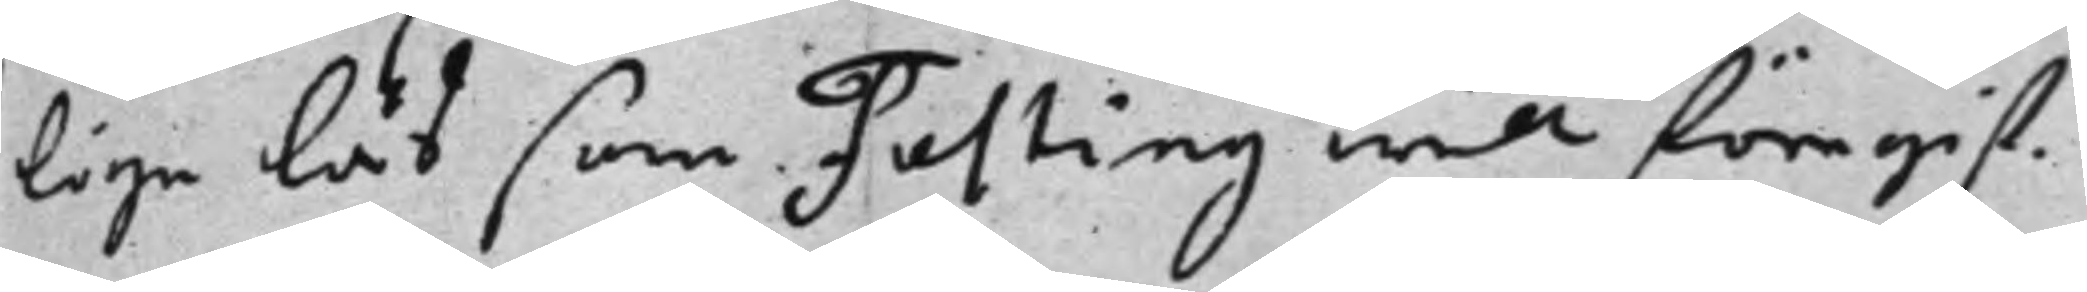lige lås som Festing will föregif¬
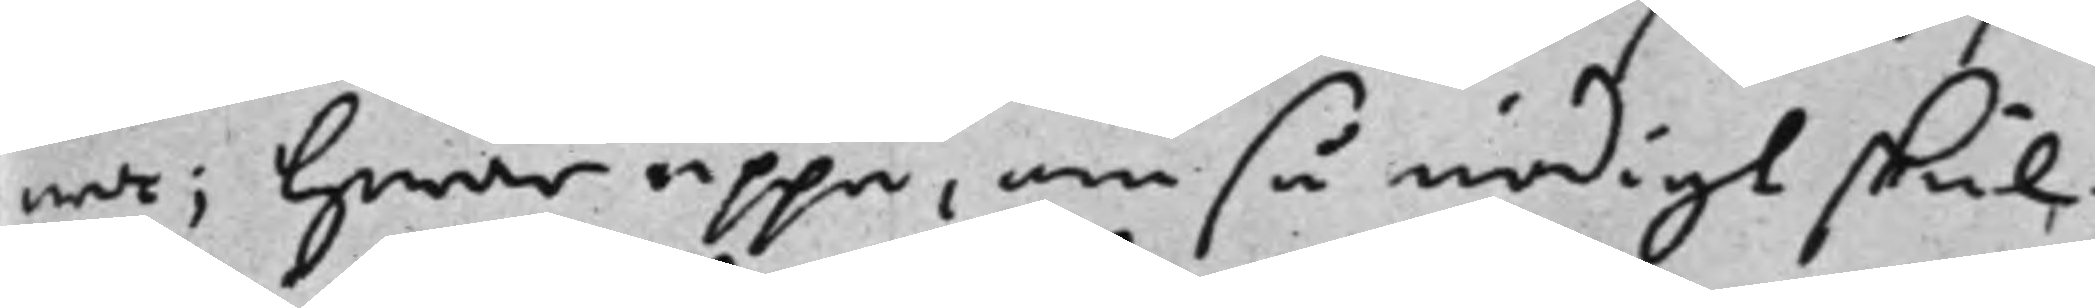wa; Hwar uppå, om så nödigt skul¬
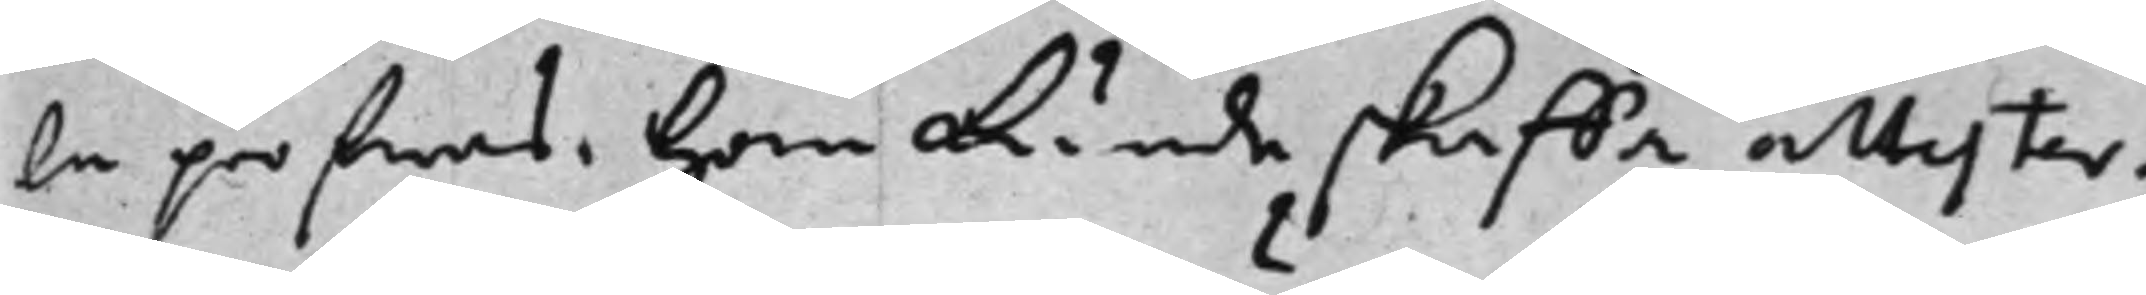la pröfwas, han kunde skaffa attester.
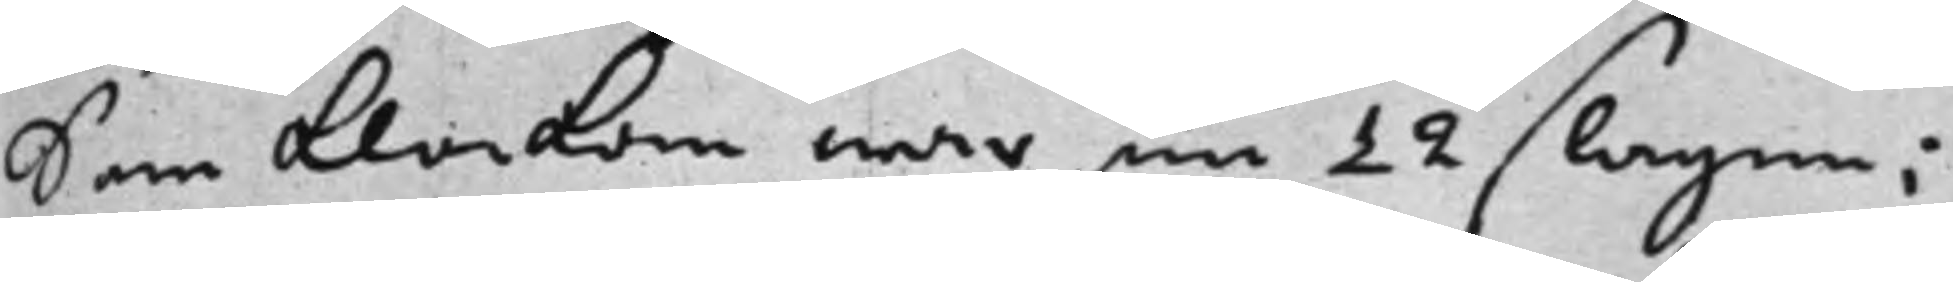Som klockan war nu 12 slagen;
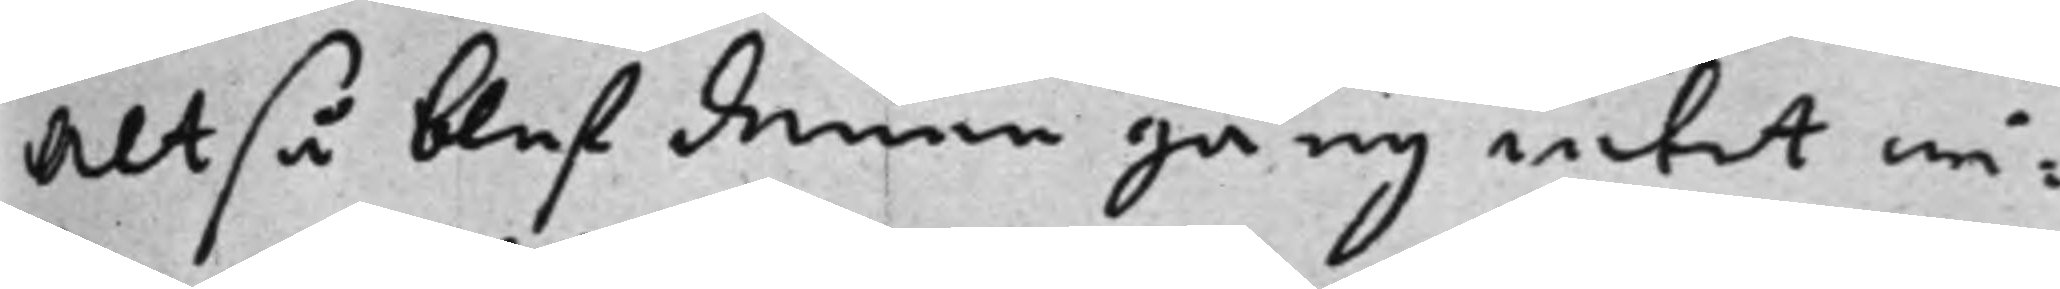Altså blef denne gång intet wi¬
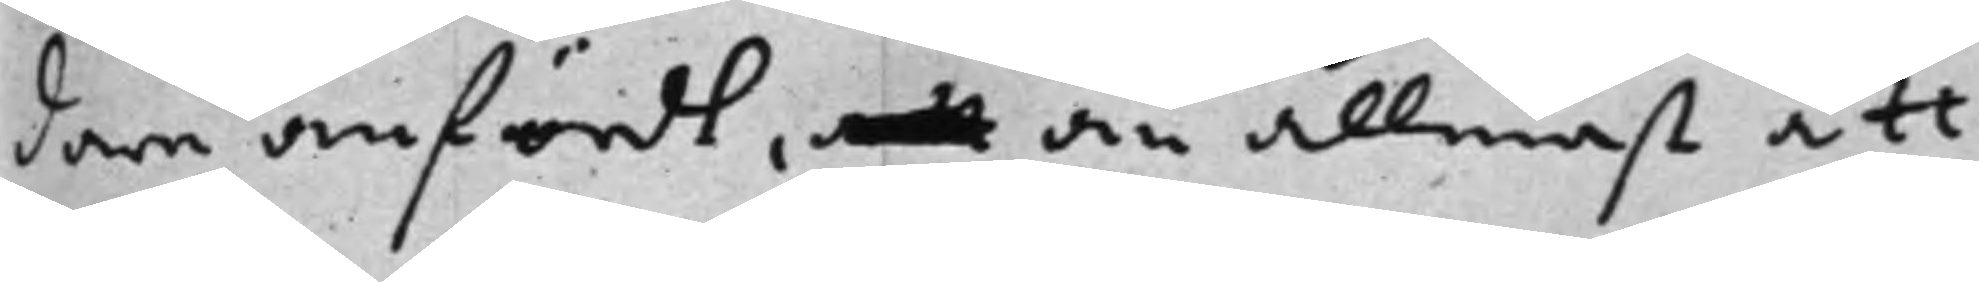dare anfördt, att än allenast att
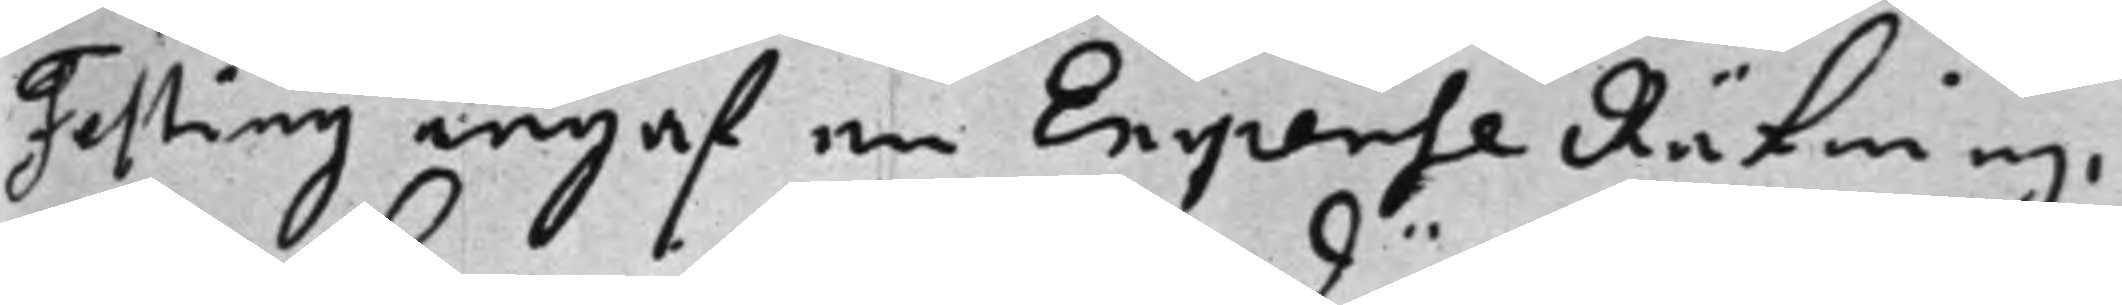Festing ingaf en Expense Räkning,
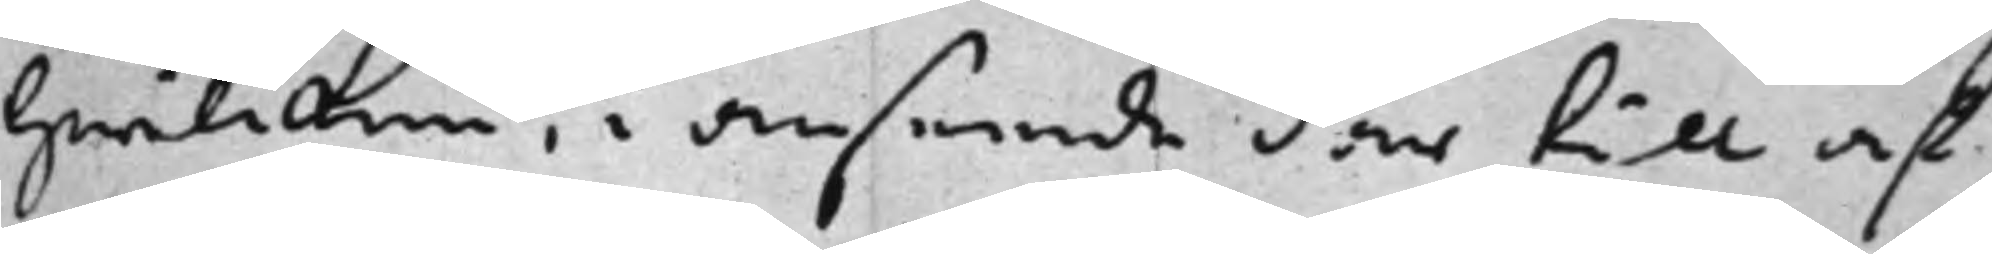hwilcken, i anseende där till af
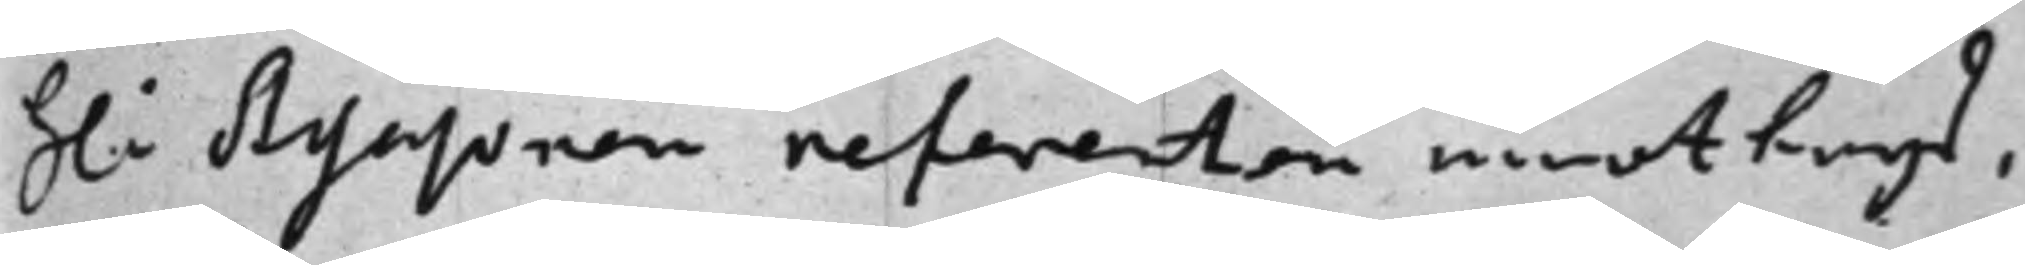H: Assessoren referenten emottogs, 
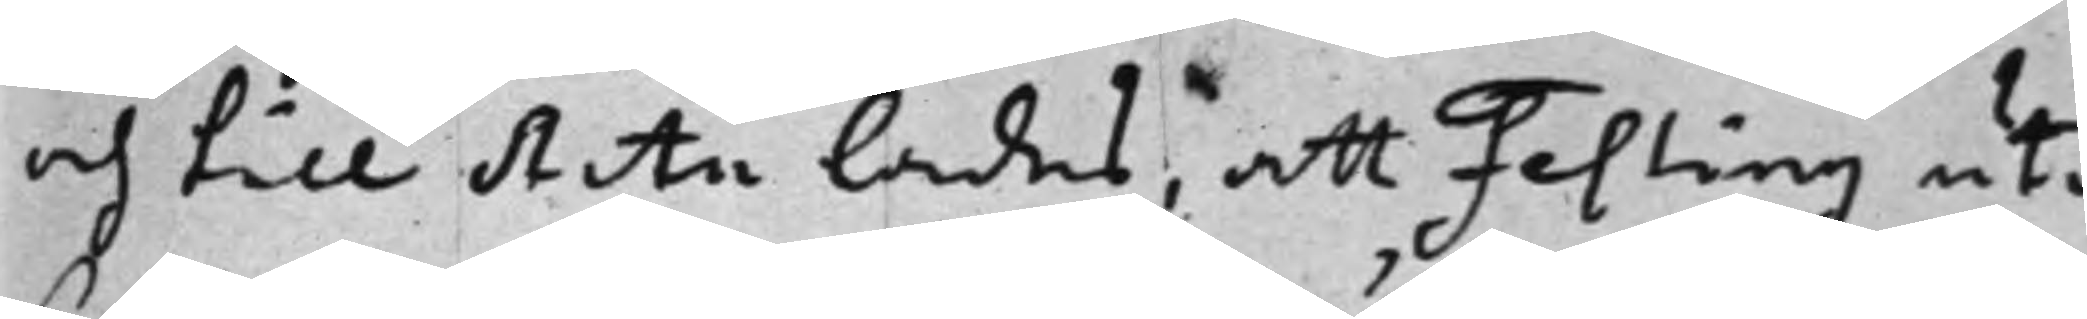och till Acta lades, att Festing uti
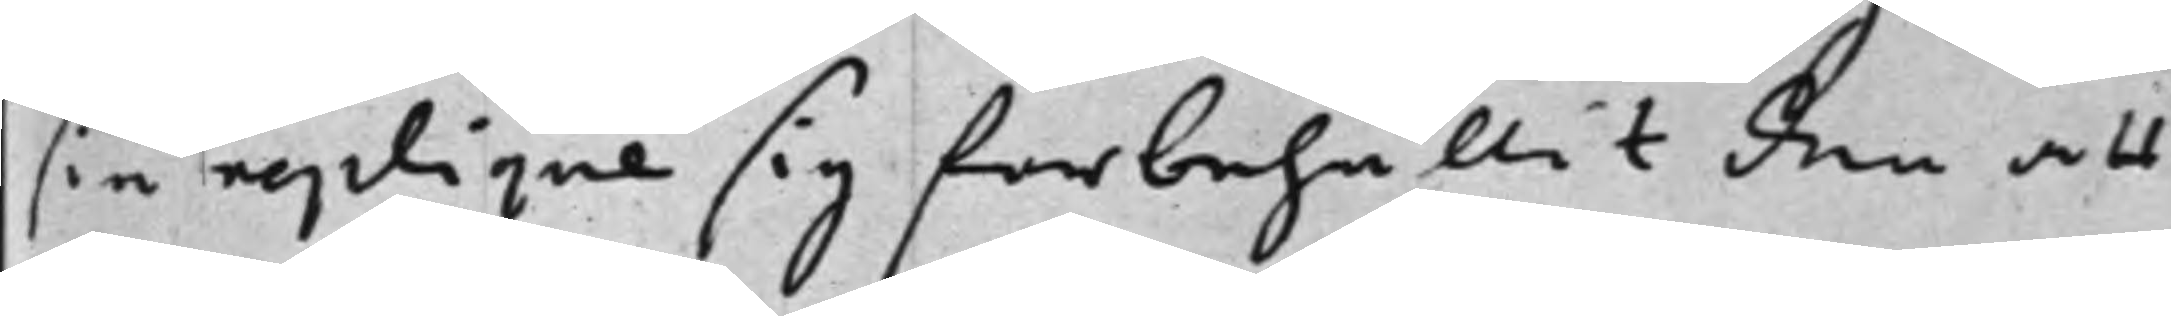sin replique sig förbehållit den att
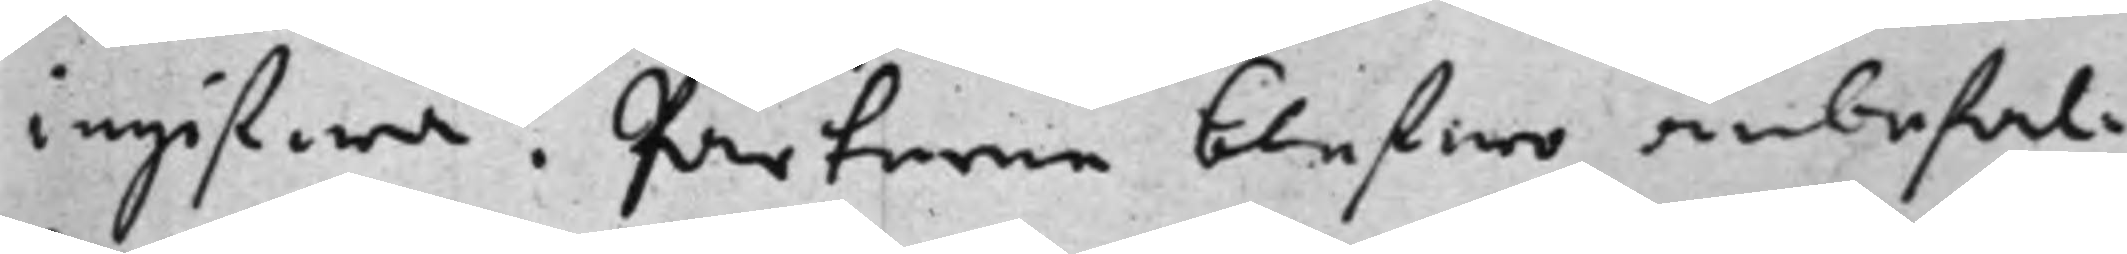ingifwa. Parterne blefwo anbefal¬
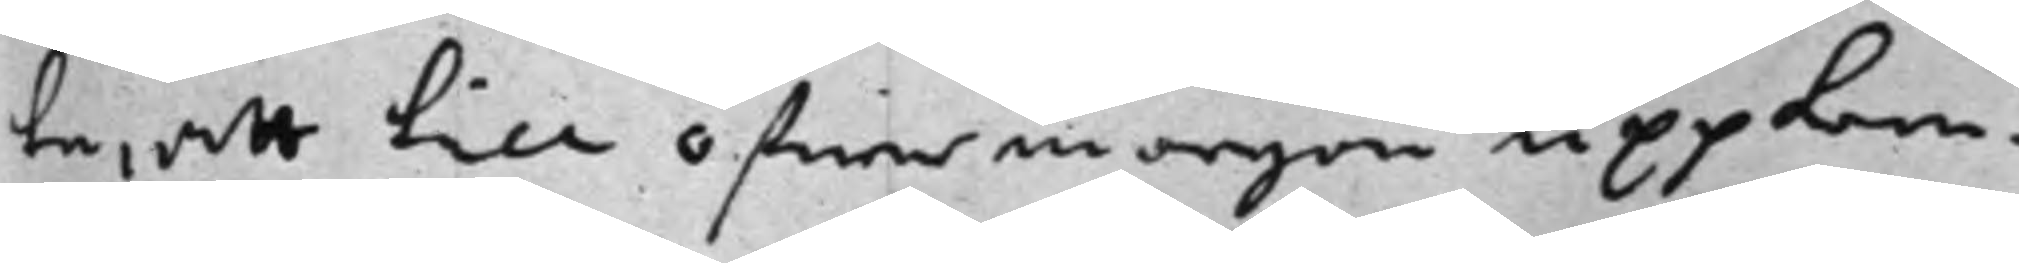te, att till öfwermorgon uppkom¬
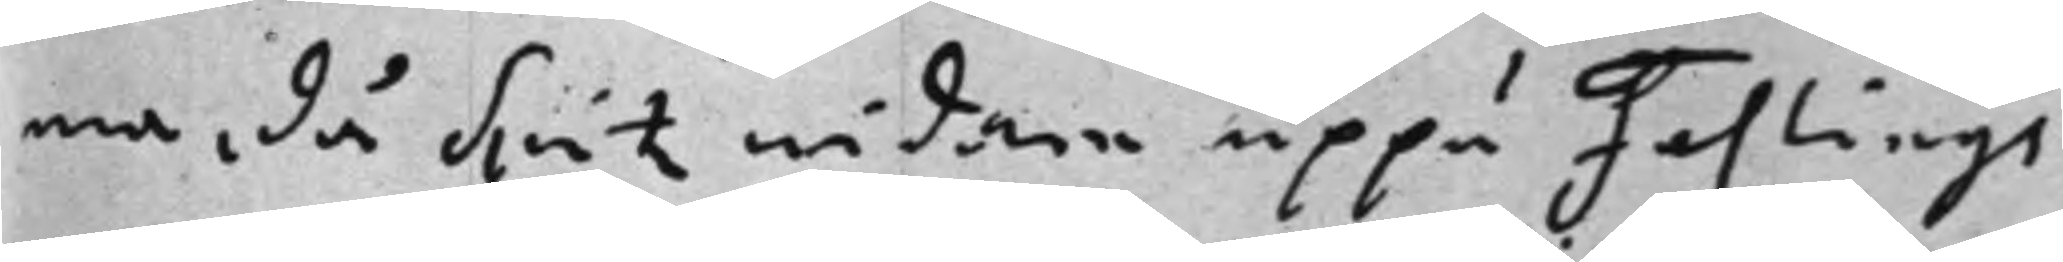ma, då Spitz widare uppå Festings
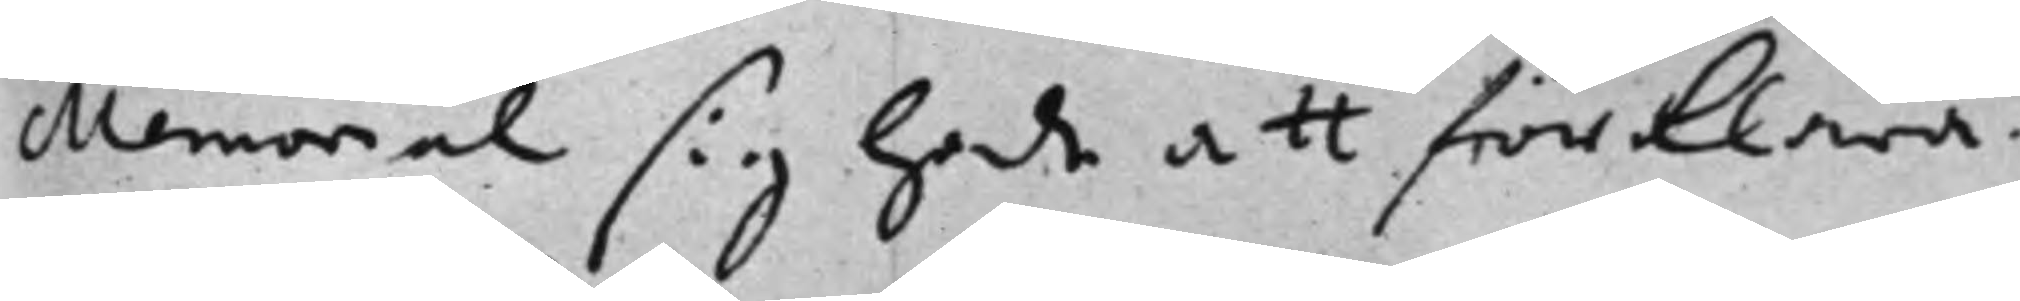Memorial sig hade att förklara.
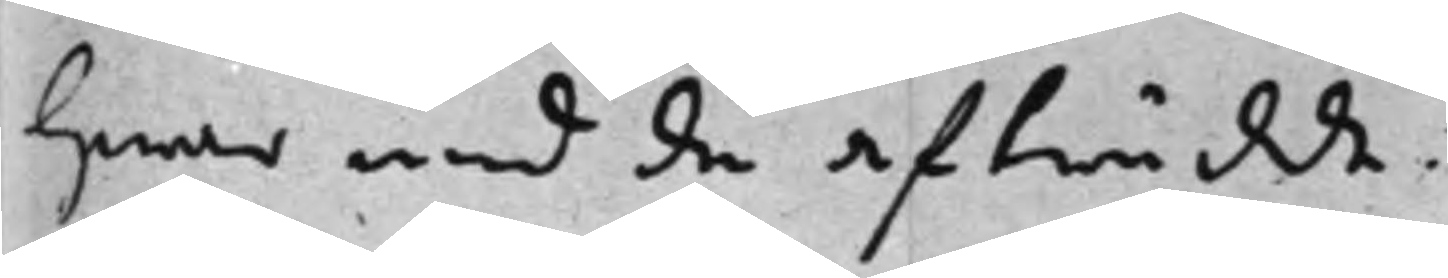hwar med de afträdde.
